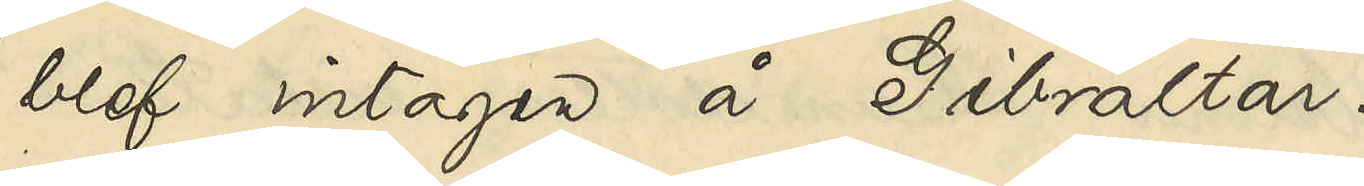blef intagen å Gibraltar.
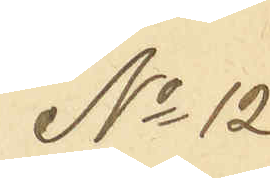No 12
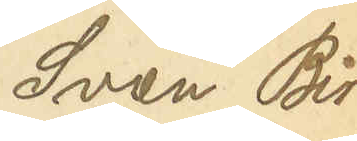Sven Bir¬
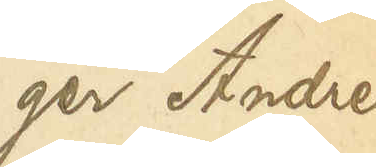ger Andreas¬
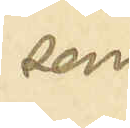son
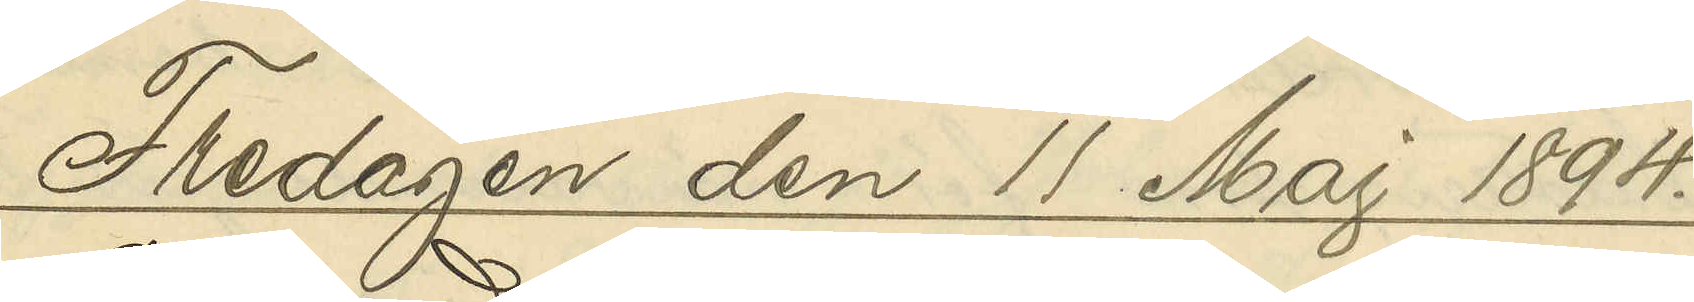Fredagen den 11 Maj 1894.
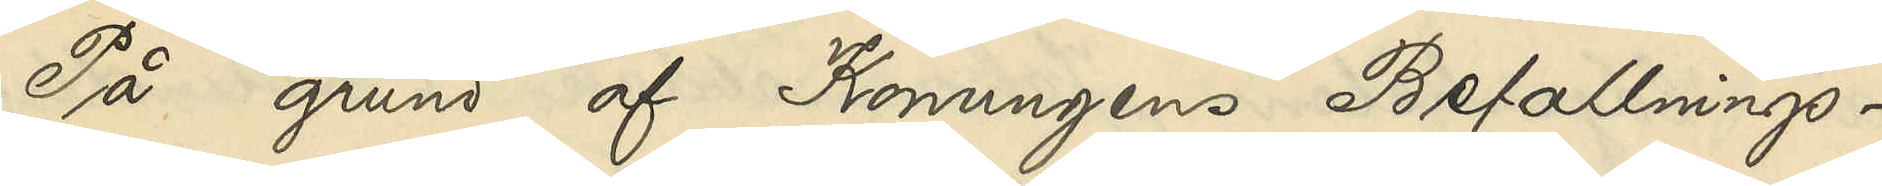På grund af Konungens Befallnings¬
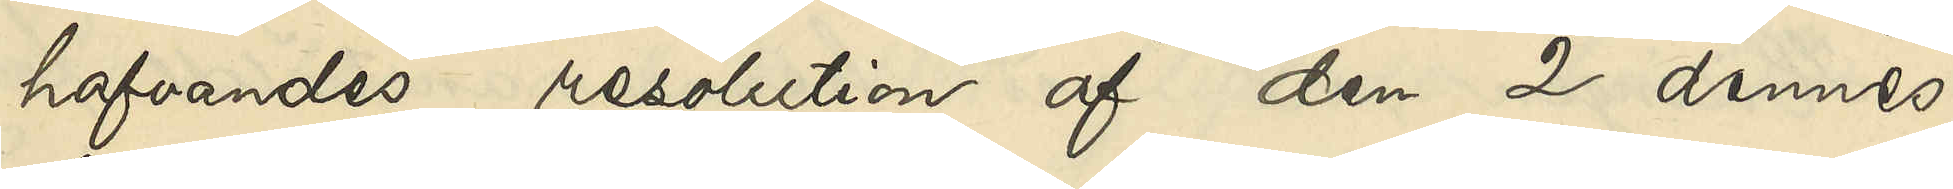hafvandes resolution af den 2 dennes,
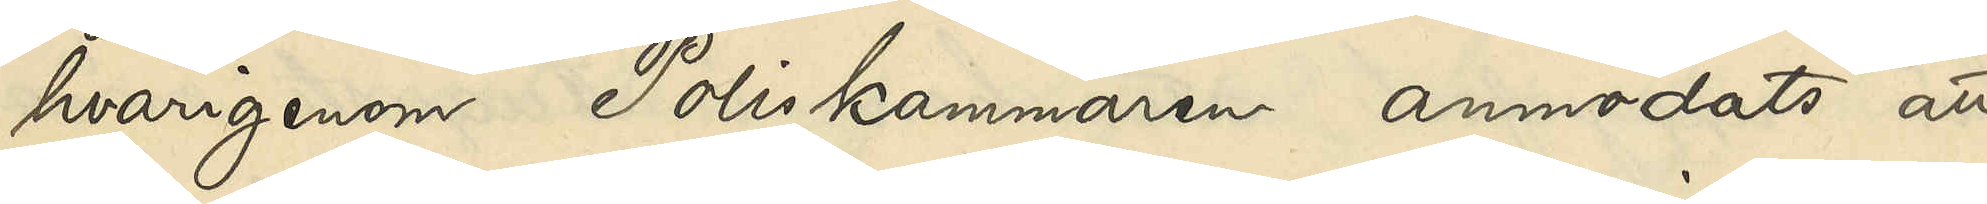hvarigenom Poliskammaren anmodats att
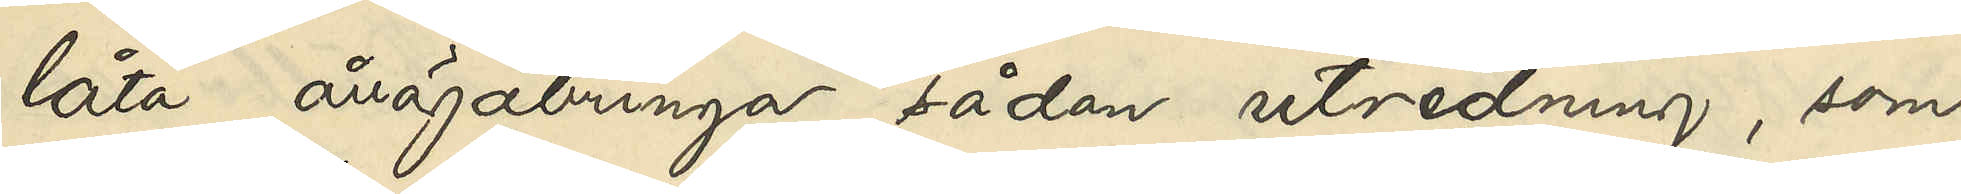låta åvägabringa sådan utredning, som
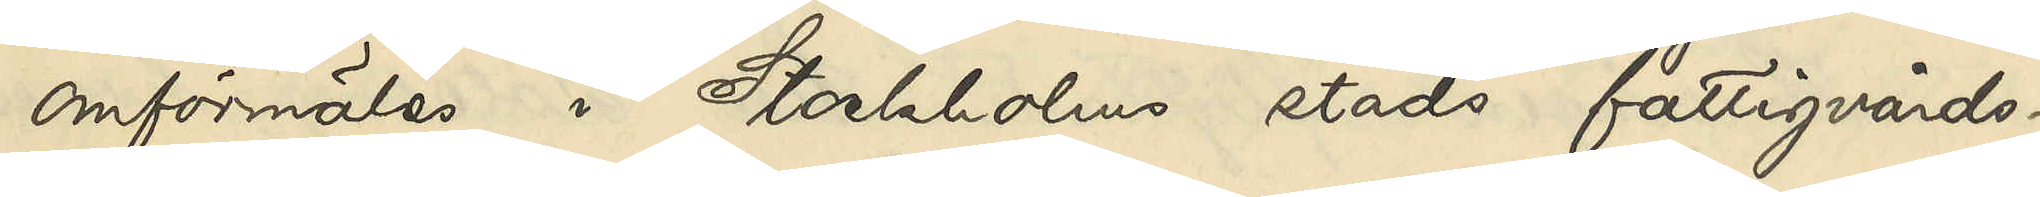omförmäles i Stockholms stads fattigvårds¬
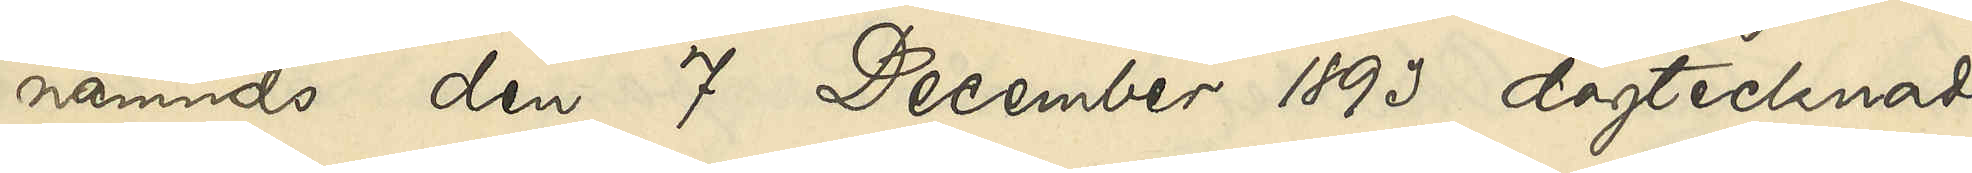nämnds den 7 December 1893 dagtecknade
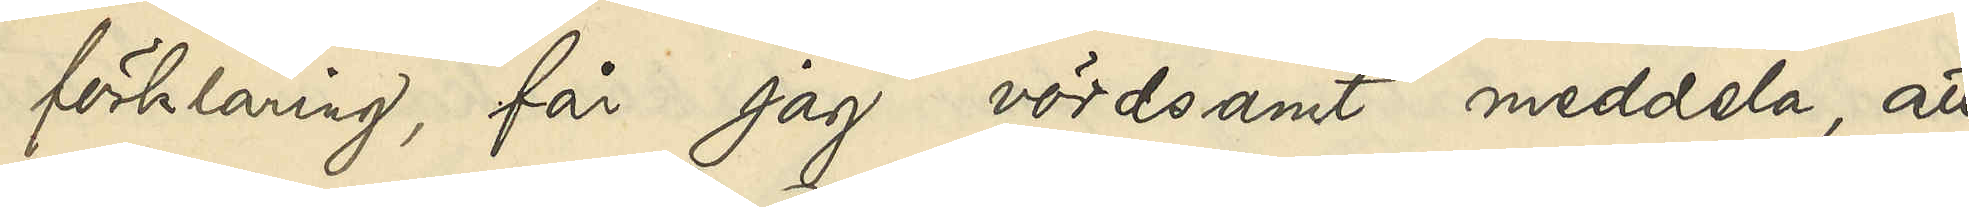förklaring, får jag vördsamt meddela, att
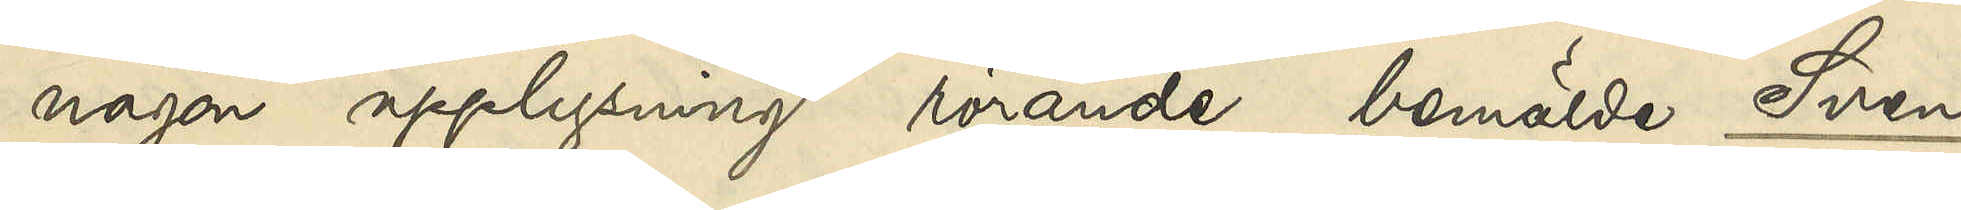någon upplysning rörande bemälde Sven
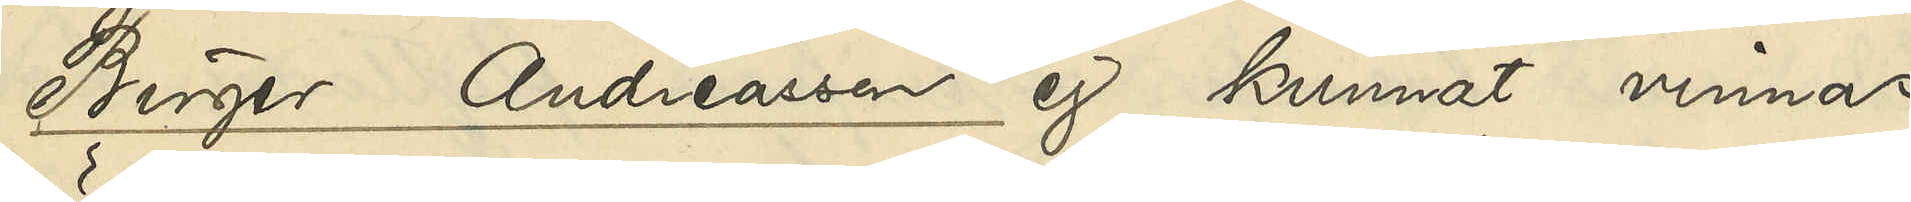Birger Andreasson ej kunnat vinnas
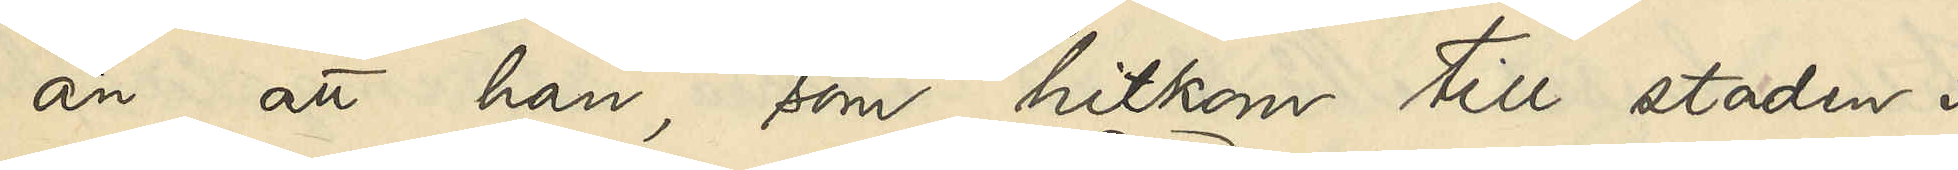än att han, som hitkom till staden i
